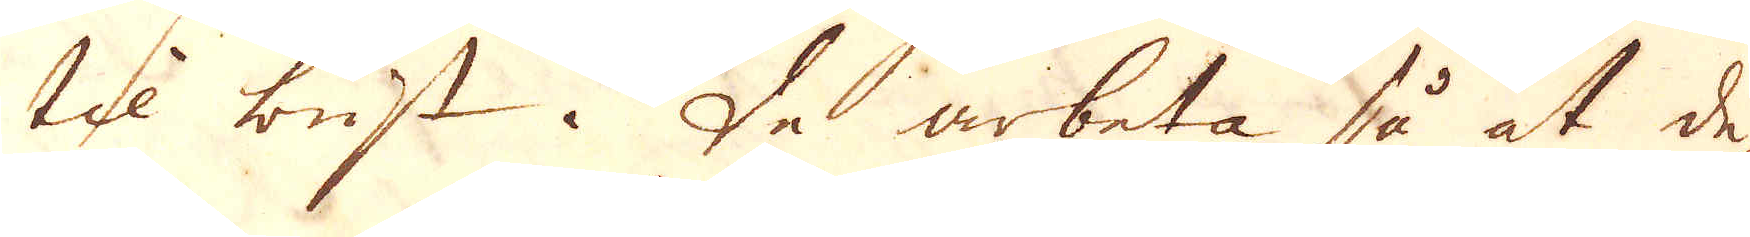til brist. De arbeta så at de
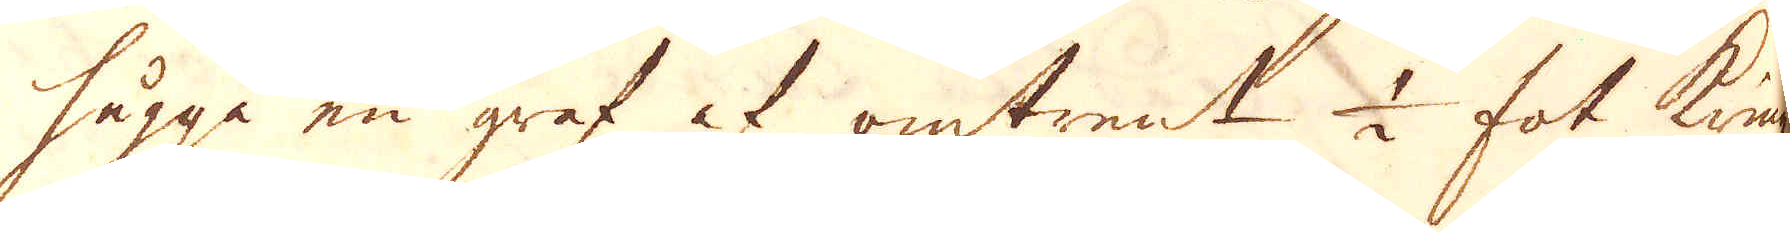hugga en graf af omtrent 1/2 fot kring
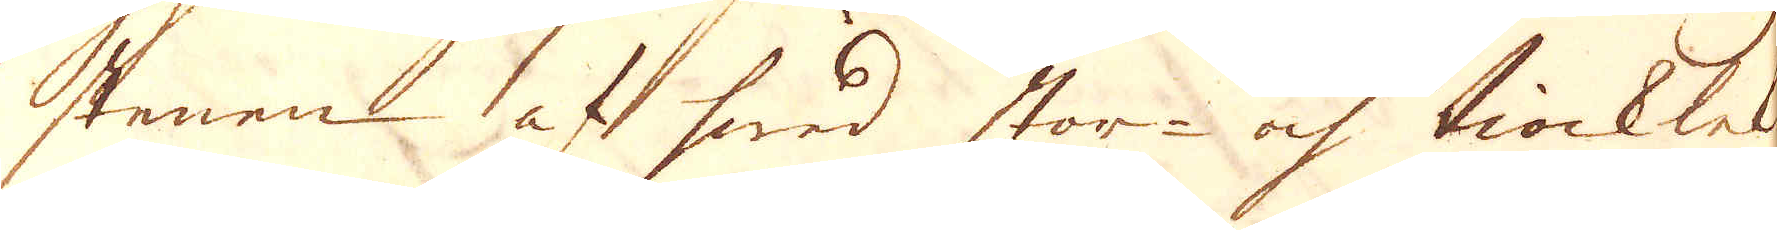stenen af hwad stor- och tiocklek
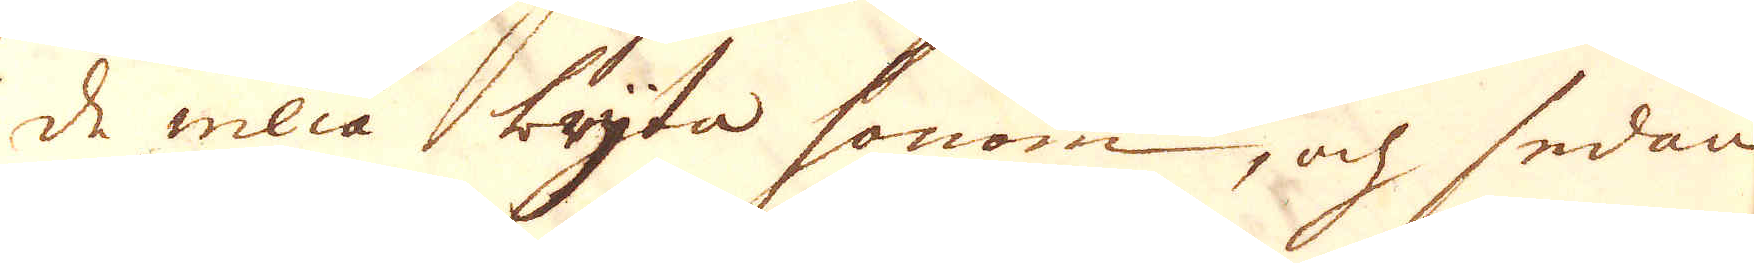de willa bryta honom, och sedan
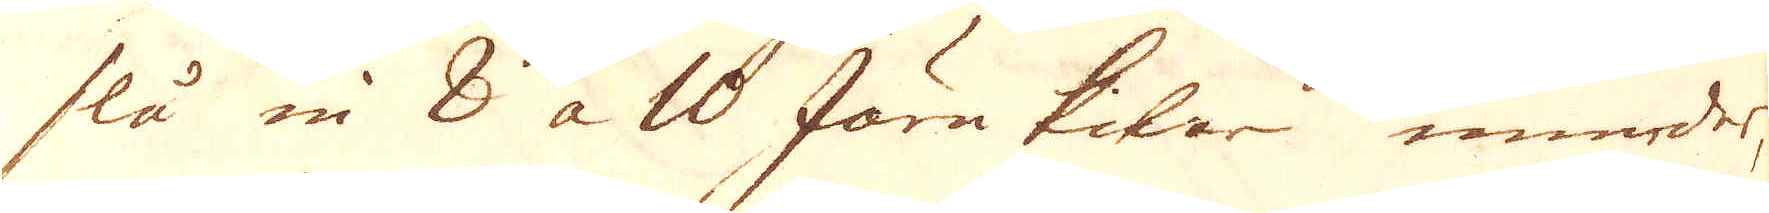slå in 8 à 10 Järnkilar inunder,
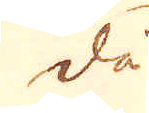då
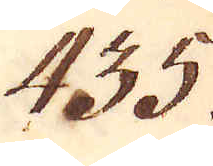435.
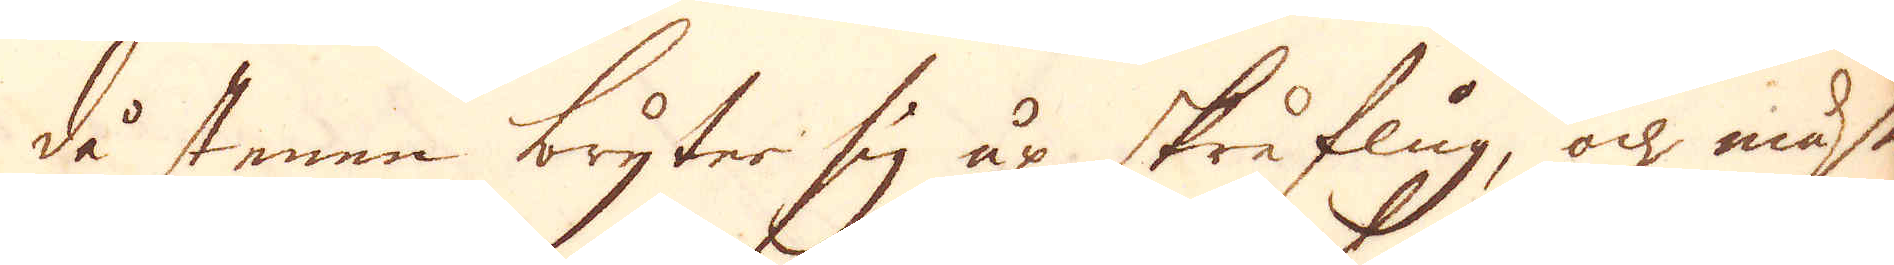då stenen bryter sig up skråflug, och måste
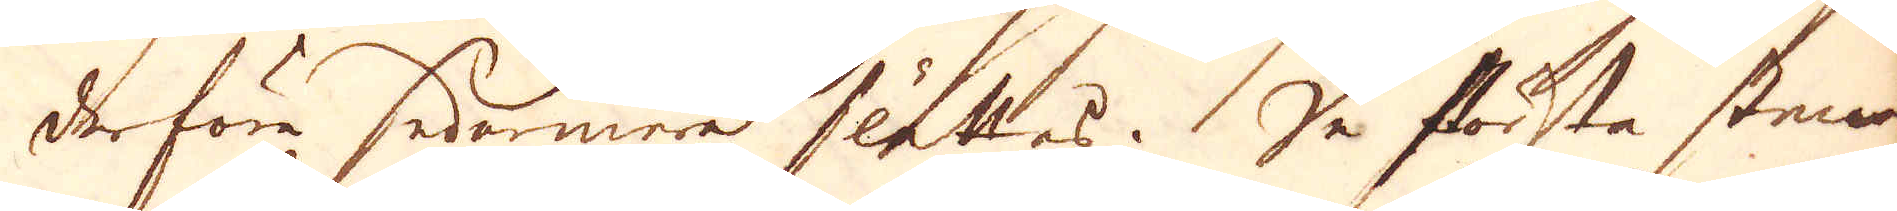derföra sedermera slättas. De största stenar
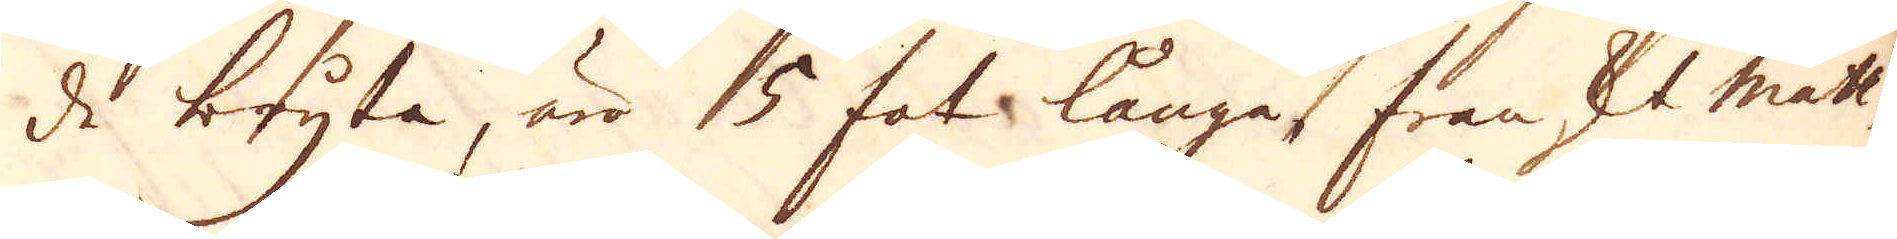de bryta, äro 5 fot långa franskt mått,
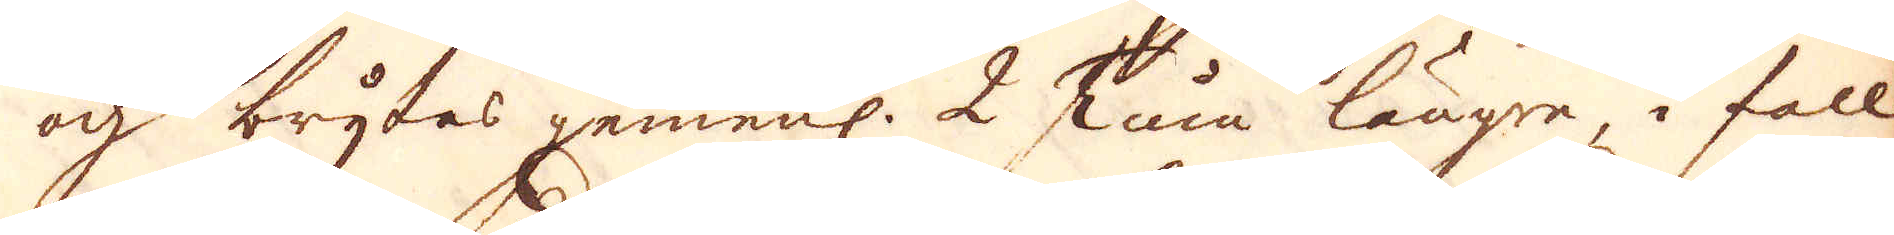och brytas gemenl. 2 Tum längre, i fall
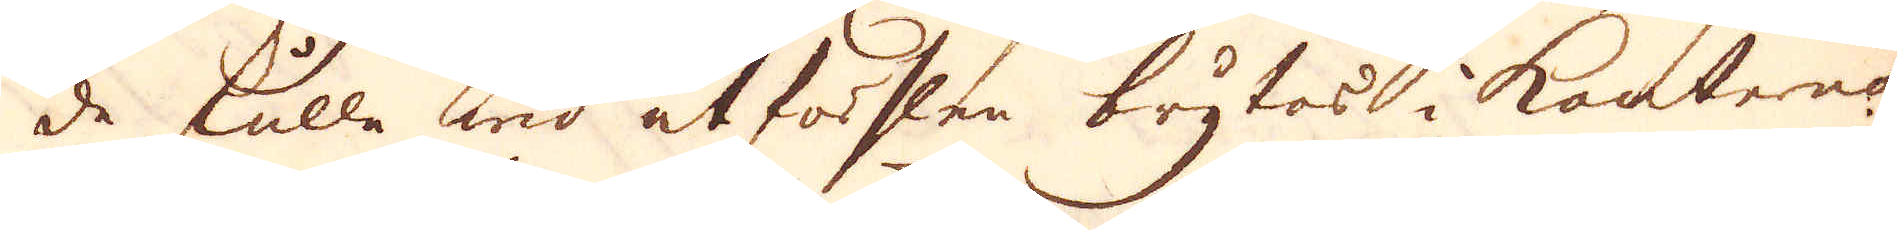de skulle wid utförslen brytas i kanterna
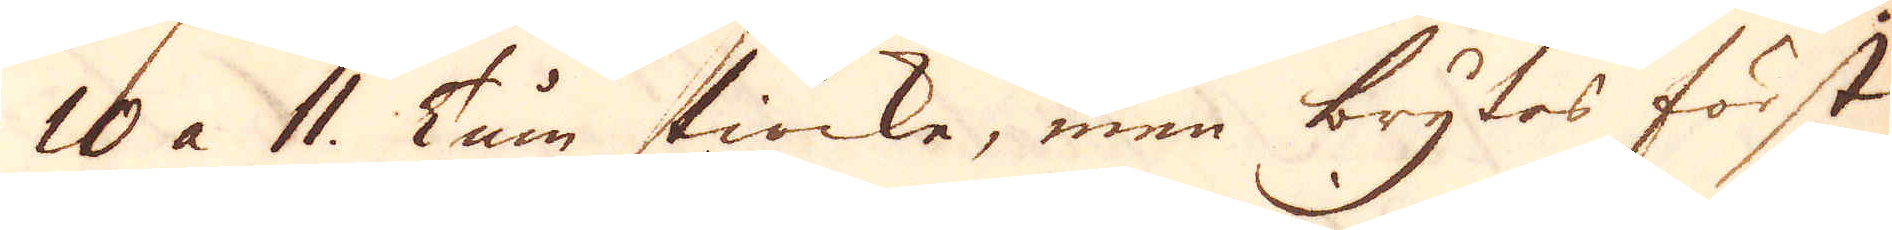10 à 11. Tum tiocke, men brytes först
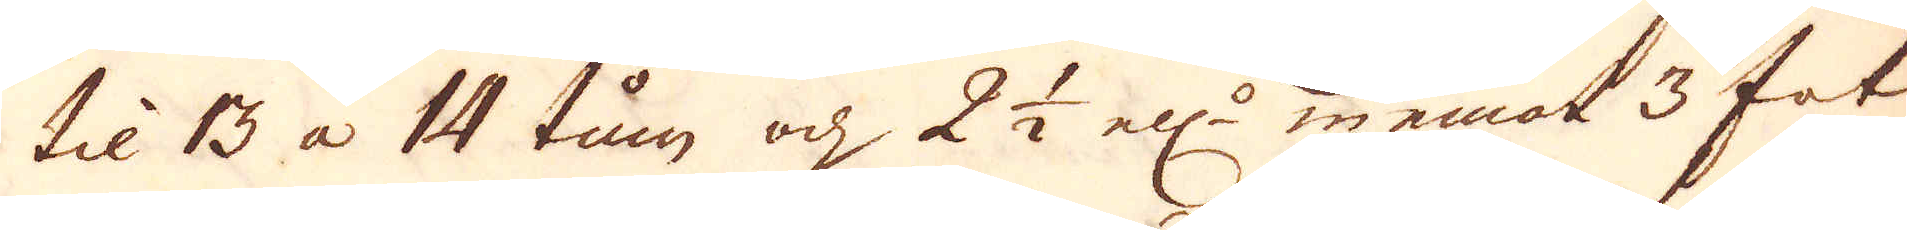til 13 à 14 tum och 2 1/2 ell:r inemot 3 fot
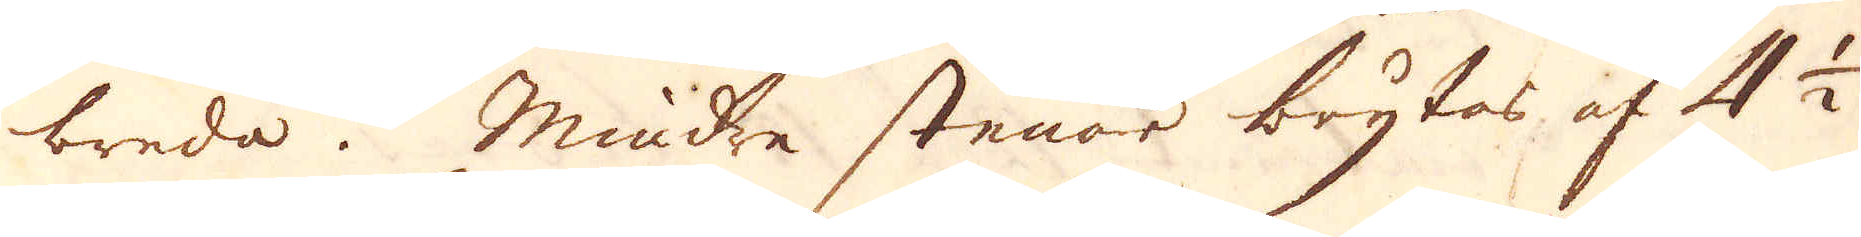breda. Mindre stenar brytas af 4 1/2
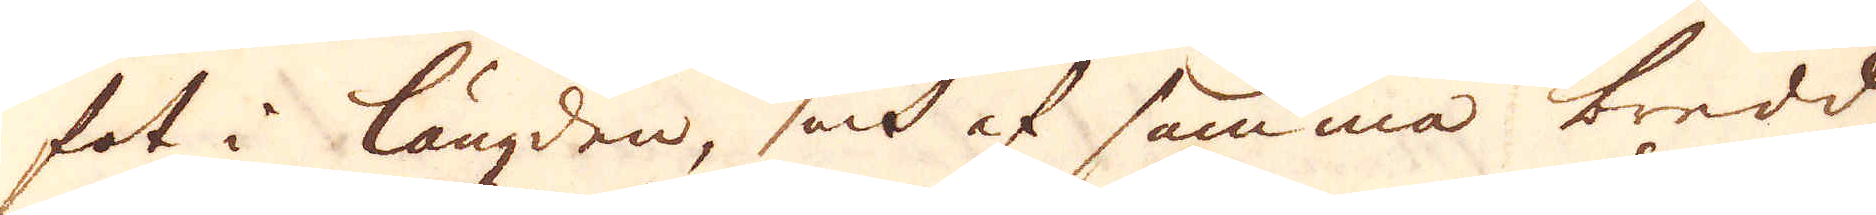fot i längden, och af samma bredd
